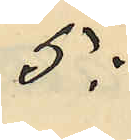5:
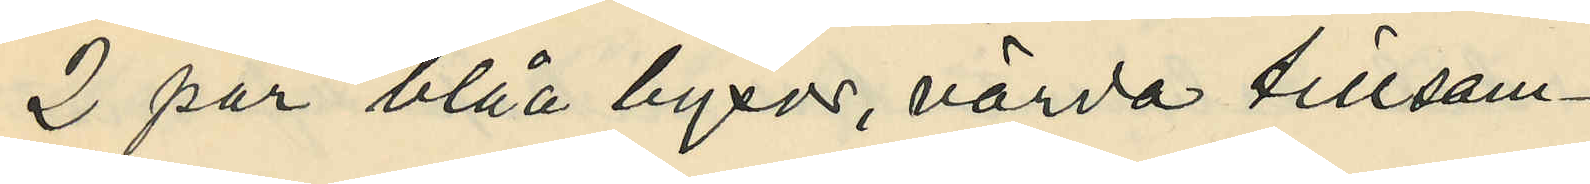2 par blåa byxor, värda tillsam¬
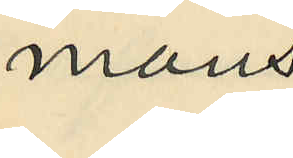mans
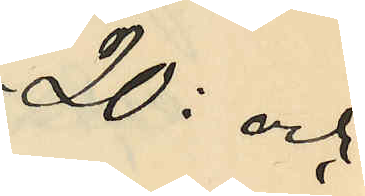20: och
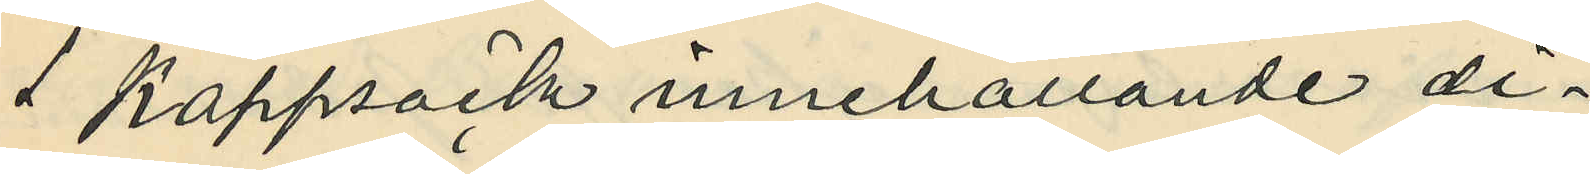1 Kappsäck innehållande di¬
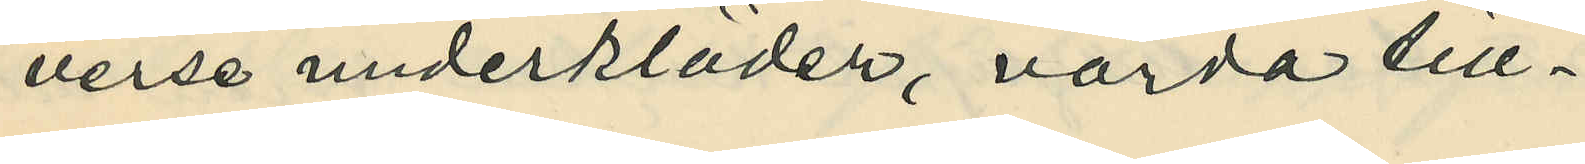verse underkläder, värda till¬
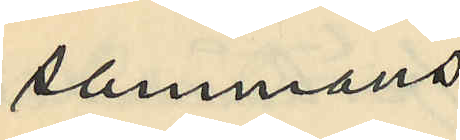sammans
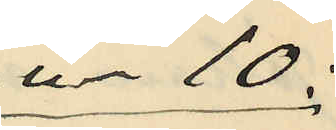-"- 10:
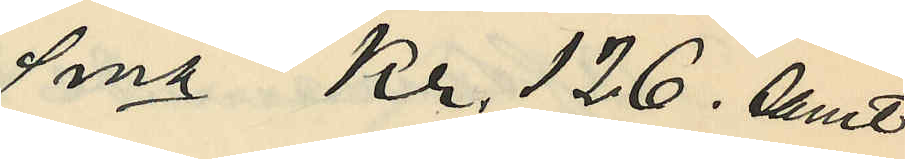Sma Kr. 126. samt
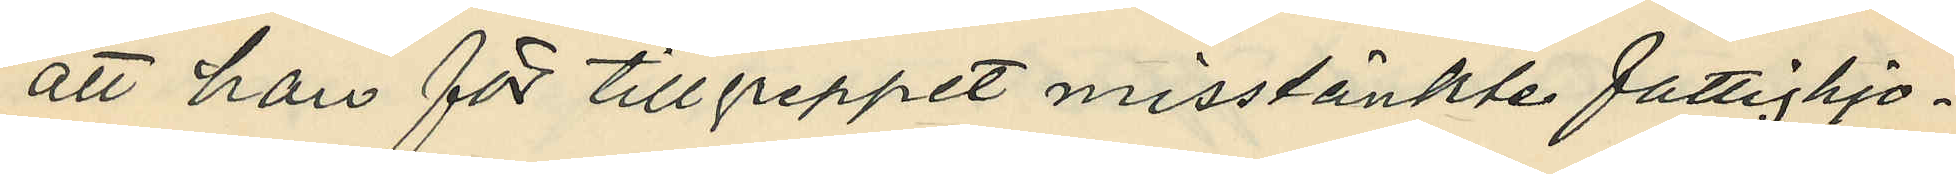att han för tillgreppet misstänkte fattighjo¬
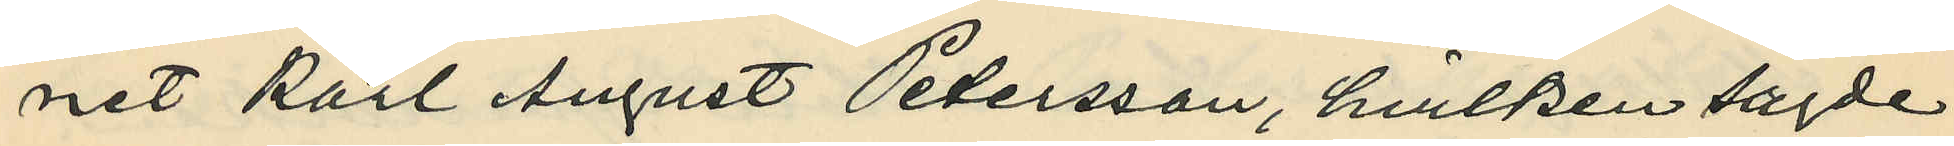net Karl August Petersson, hvilken sagde
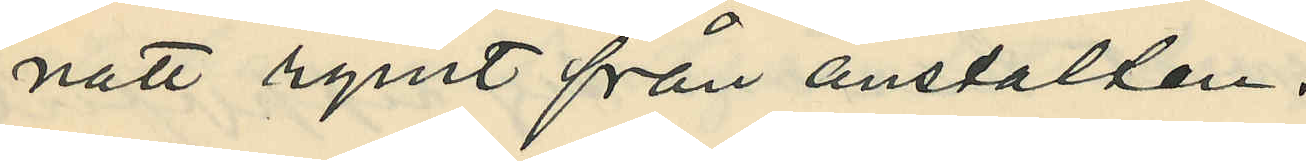natt rymt från anstalten.
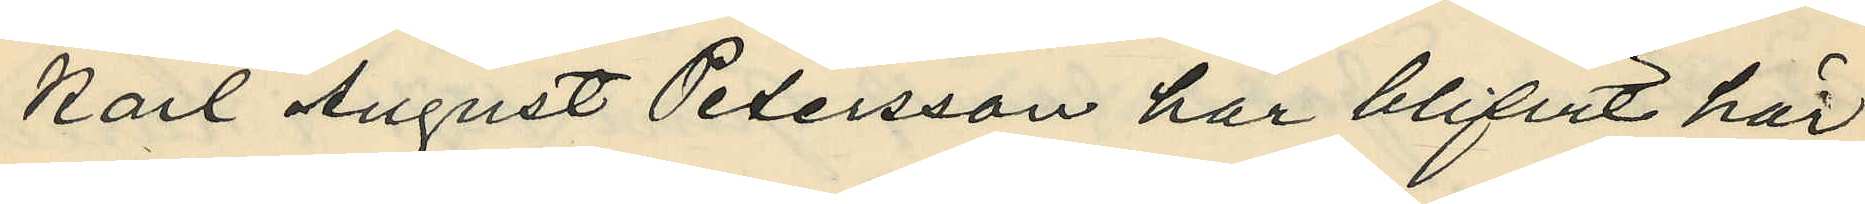Karl August Petersson har blifvit här
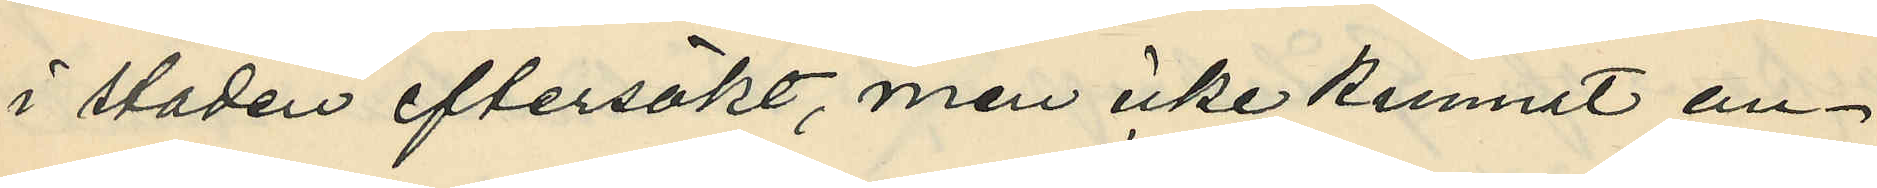i staden eftersökt, men icke kunnat an¬
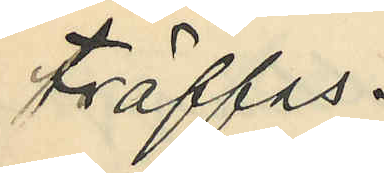träffas.
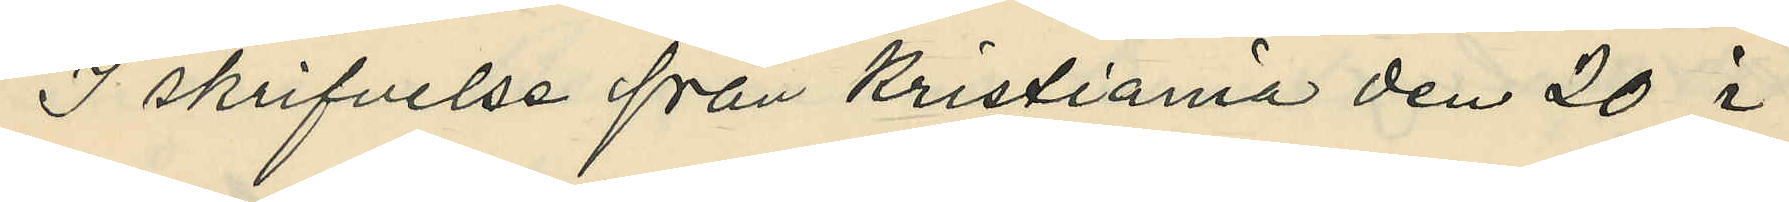I skrifvelse från Kristiania den 20 i
